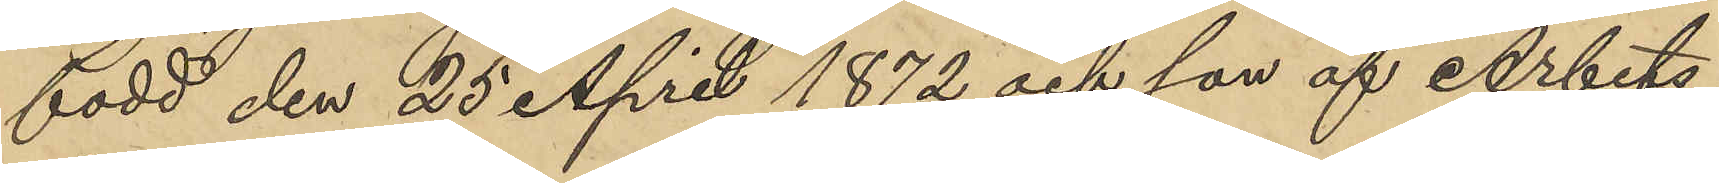född den 25 April 1872 och son af Arbets¬
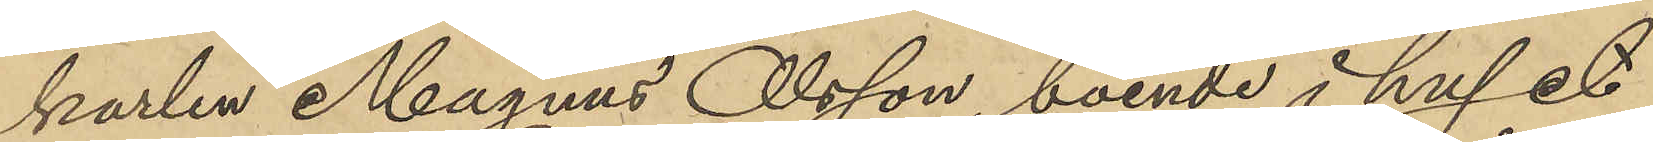karlen Magnus Olsson boende i huset
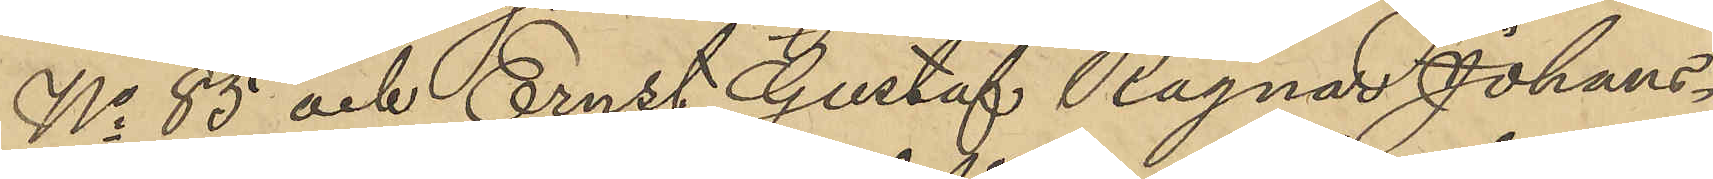No 85 och Ernst Gustaf Ragnar Johans¬
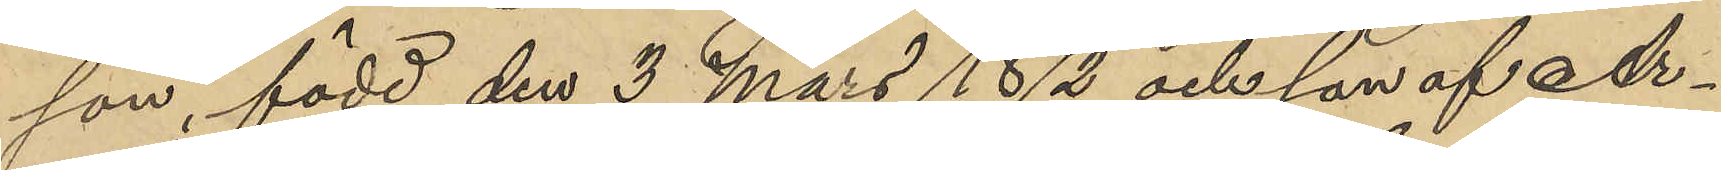son, född den 3 Mars 1872 och son af Ar¬
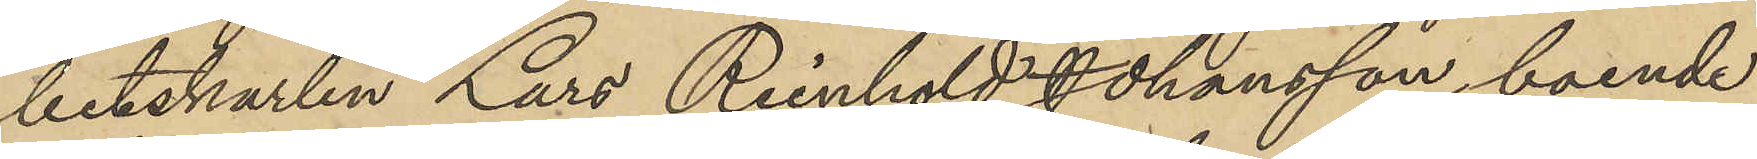betskarlen Lars Reinhold Johansson, boende
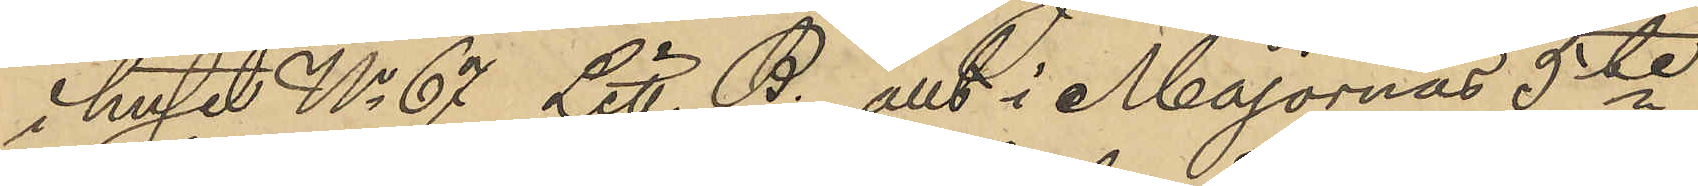i huset No 67 Litt. B. att i Majornas 5te
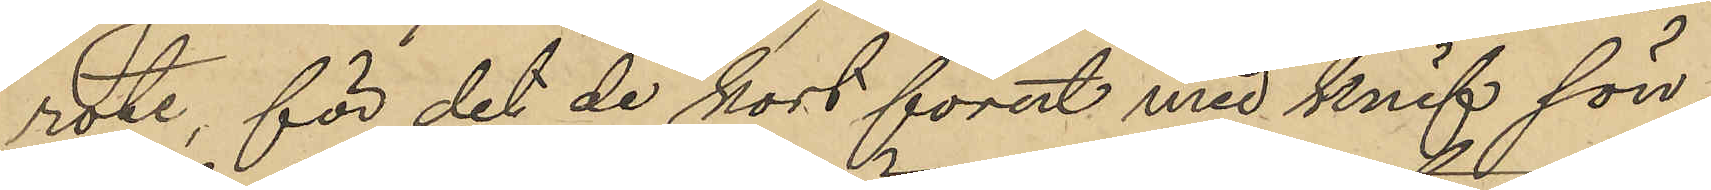rote, för det de kort förut med knif sön¬
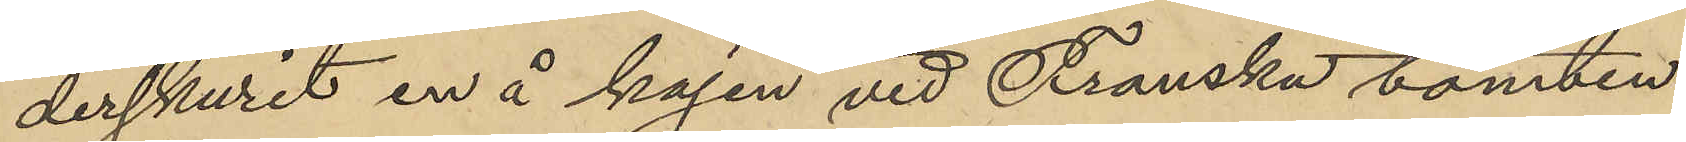derskurit en å kajen vid Franska tomten
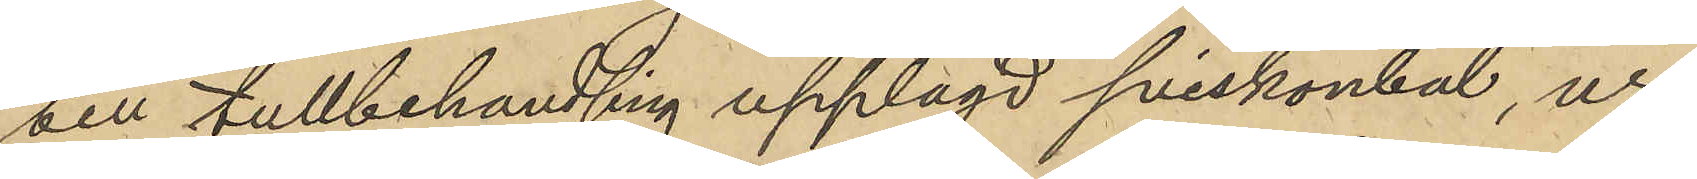till tullbehandling upplagd sviskonbal, ur
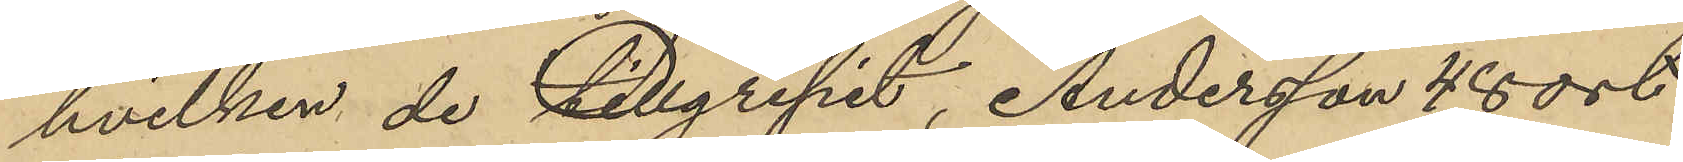hvilken de tillgripit, Andersson 48 ort
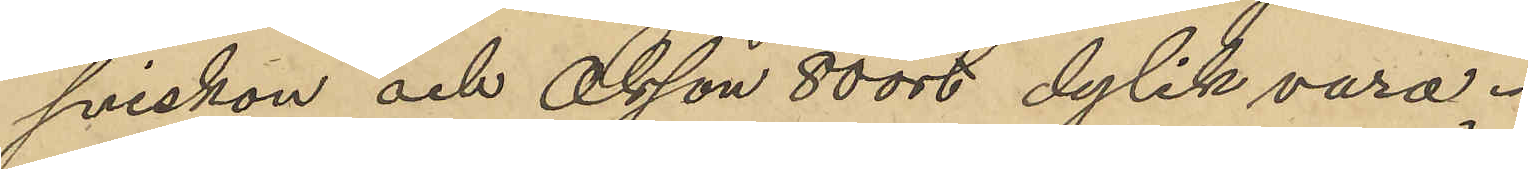sviskon och Olsson 80 ort dylik vara.
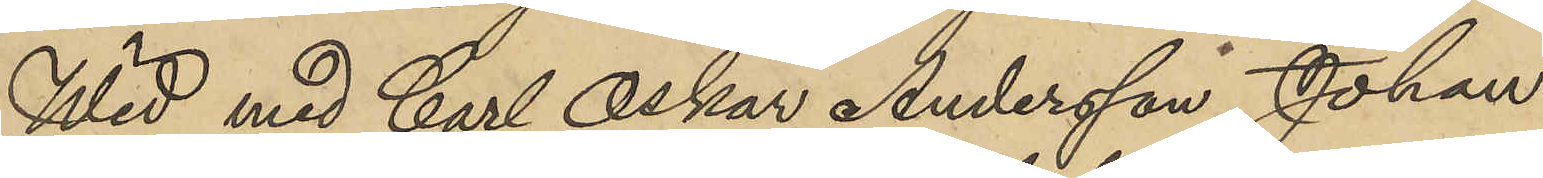Wid med Carl Oskar Andersson, Johan
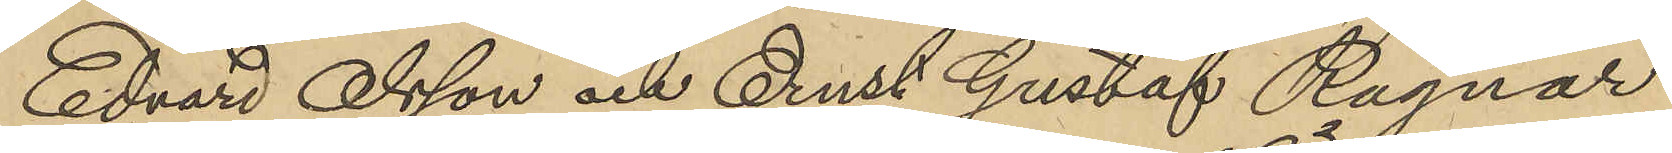Edvard Olsson och Ernst Gustaf Ragnar
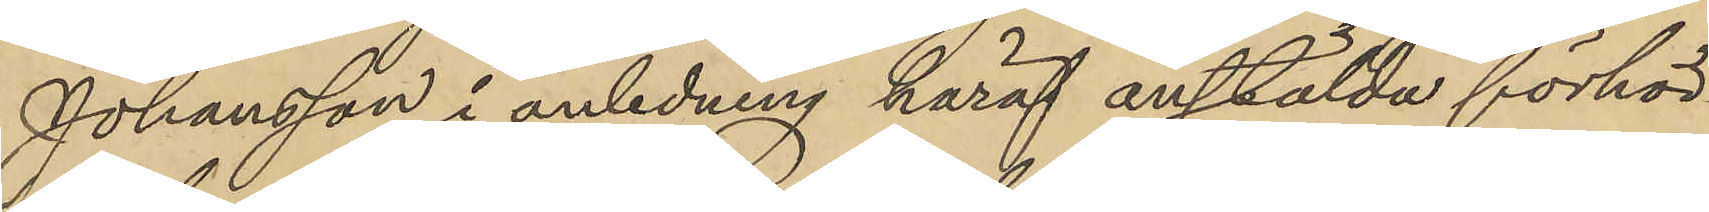Johansson i anledning häraf anstälda förhör
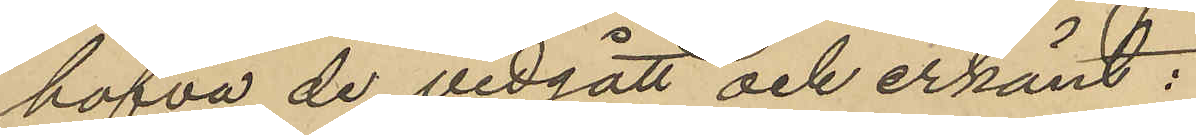hafva de vidgått och erkänt:
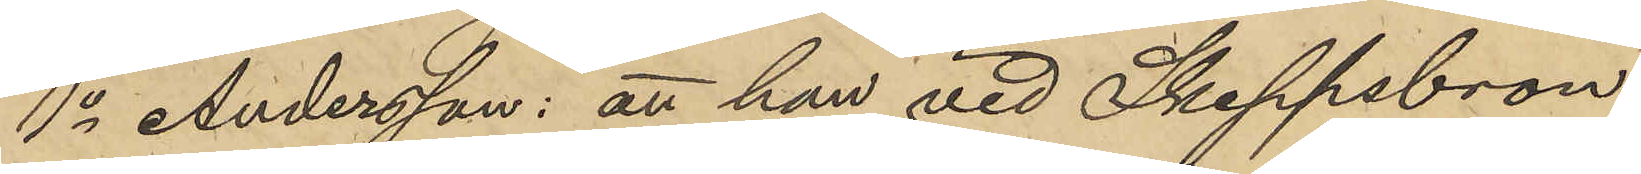1o Andersson: att han vid Skeppsbron
